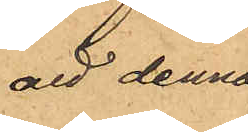att denna
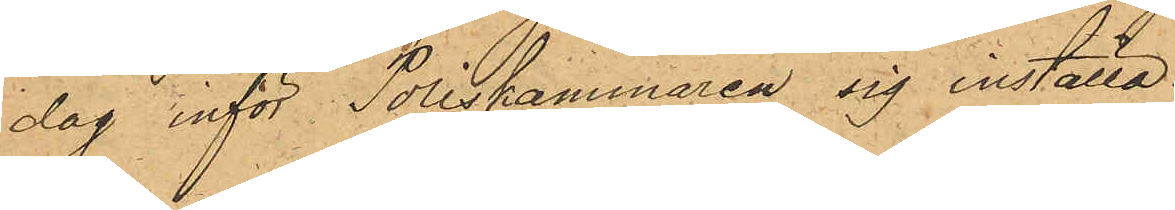dag inför Poliskammaren sig inställa.
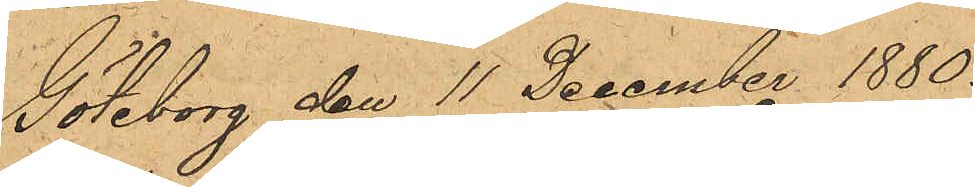Göteborg den 11 December 1880.
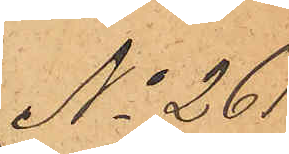No 261.
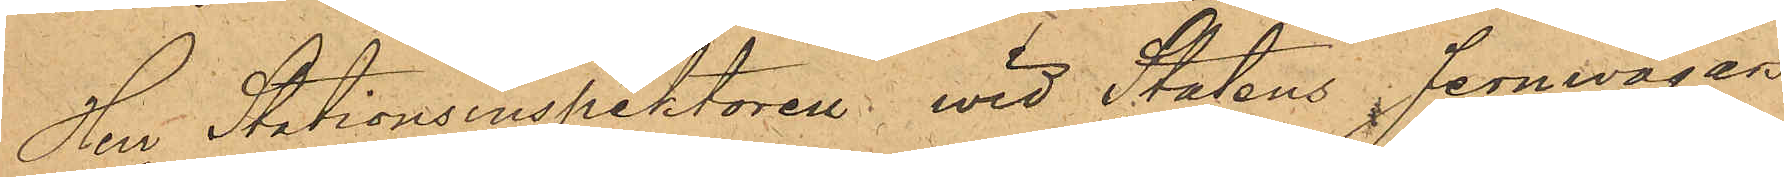Herr Stationsinspektoren vid Statens Jernwägars
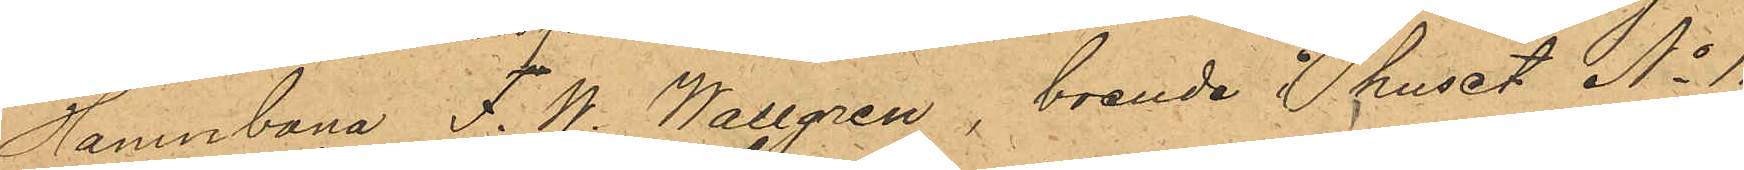Hamnbana F. W. Wallgren, boende i huset No 11
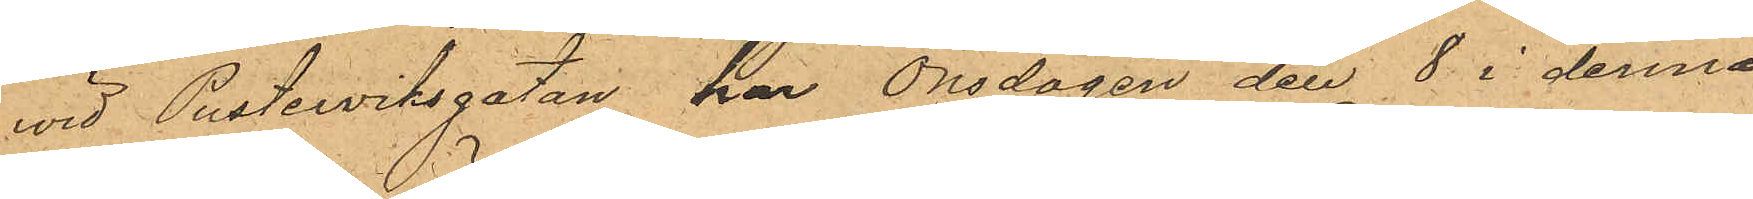vid Pusterviksgatan, har Onsdagen den 8 i denna
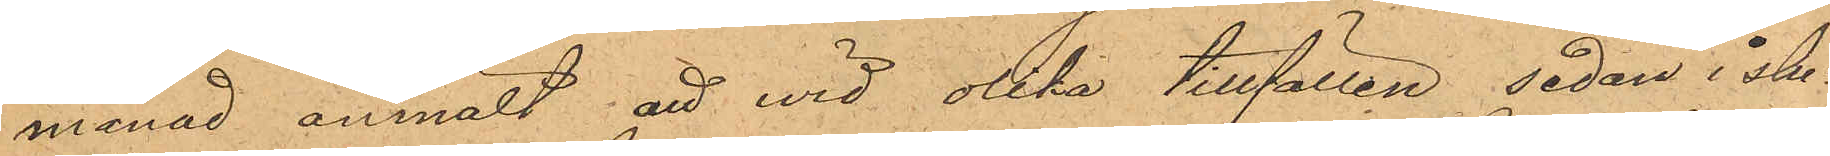månad anmält att wid olika tillfällen sedan i slu¬
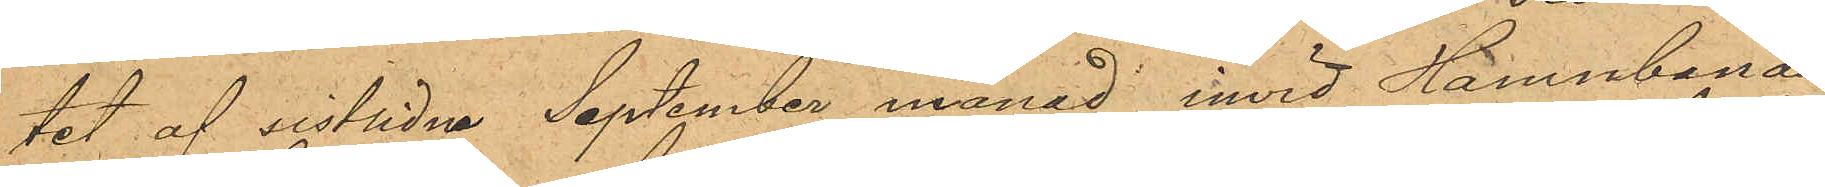tet af sistlidne September månad invid Hamnbanan
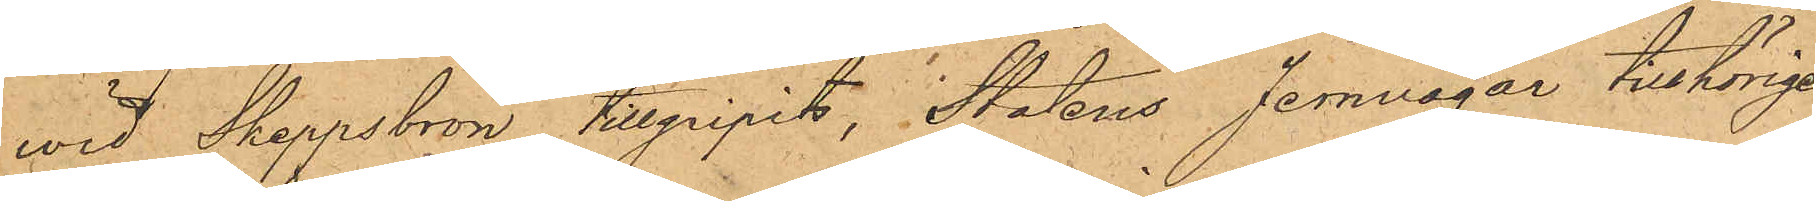wid Skeppsbron tillgripits, Statens Jernvägar tillhörige
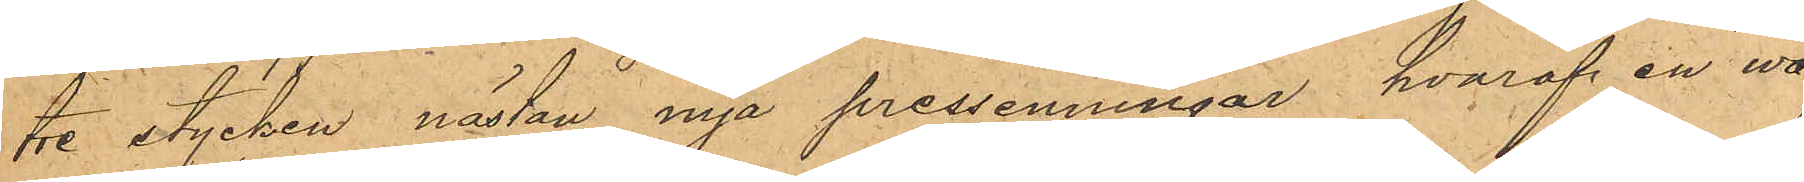tre stycken nästan nya pressenningar, hvaraf en wa¬
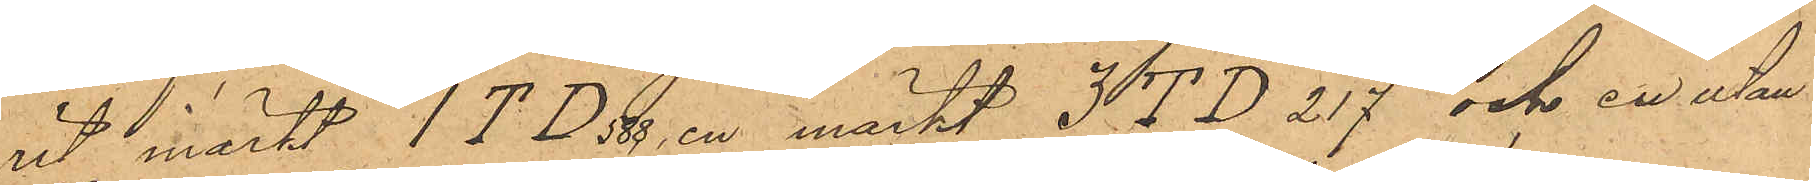rit märkt ITD 588, en märkt 3TD 217 och en utan
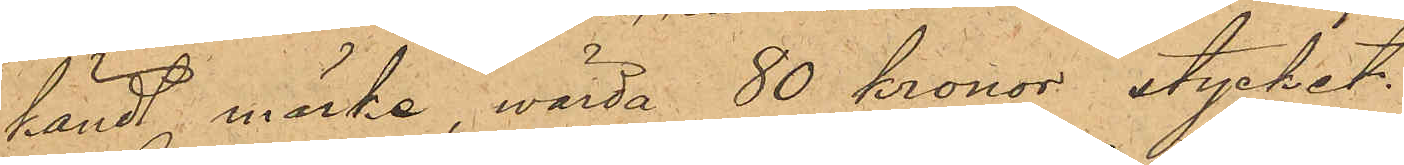kändt märke, wärda 80 kronor stycket.
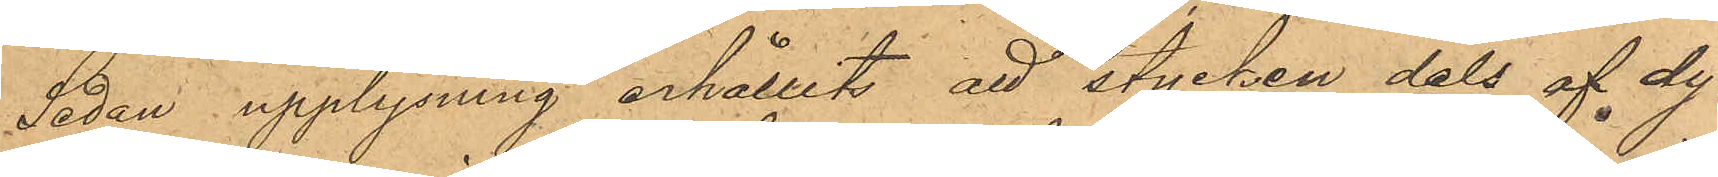Sedan upplysning erhållits att stycken dels af dy¬
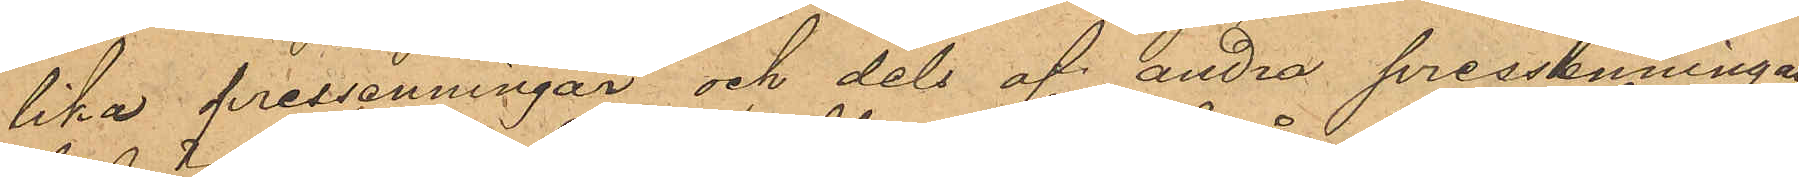lika pressenningar och dels af andra pressenningar
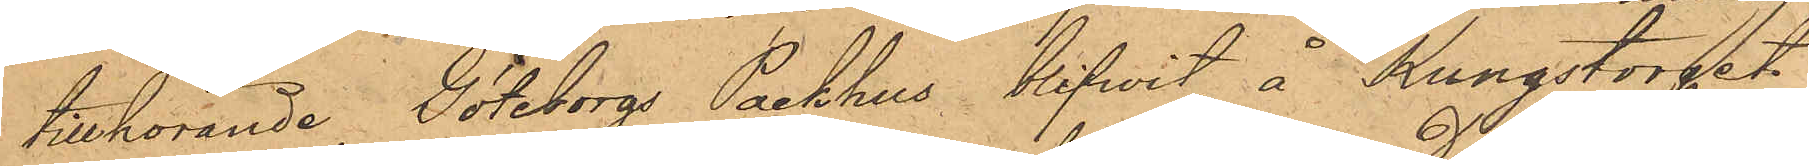tillhörande Göteborgs Packhus blifvit å Kungstorget
